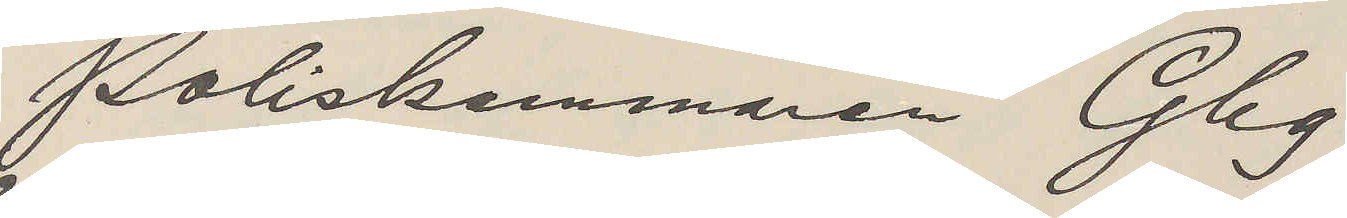Poliskammaren Gbg
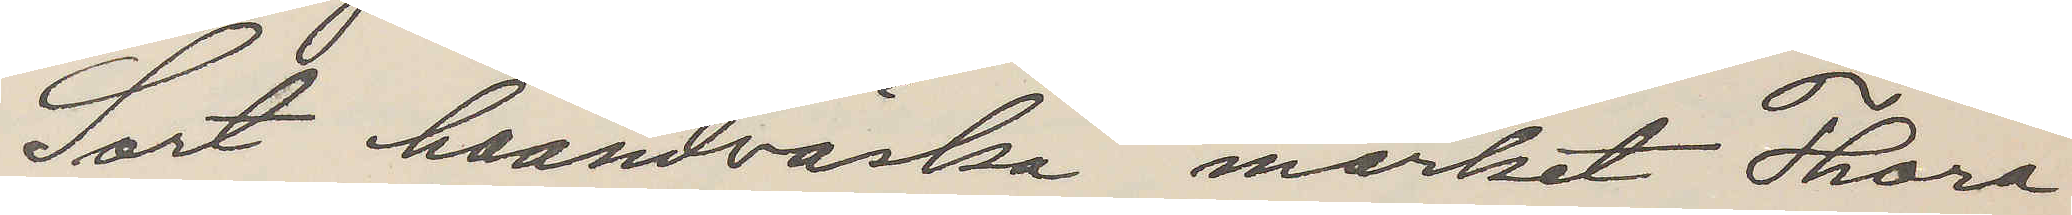Sort haandväska märket Thora
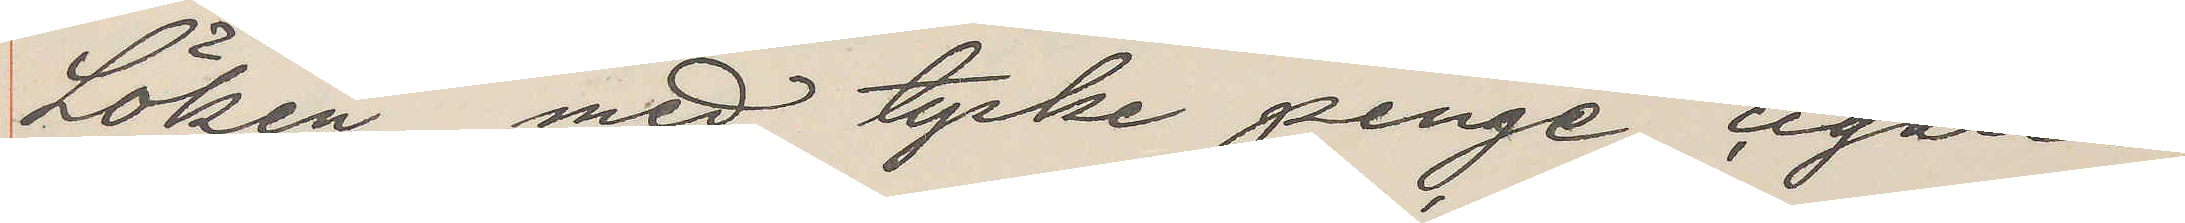Löken med tyske penge cigarer
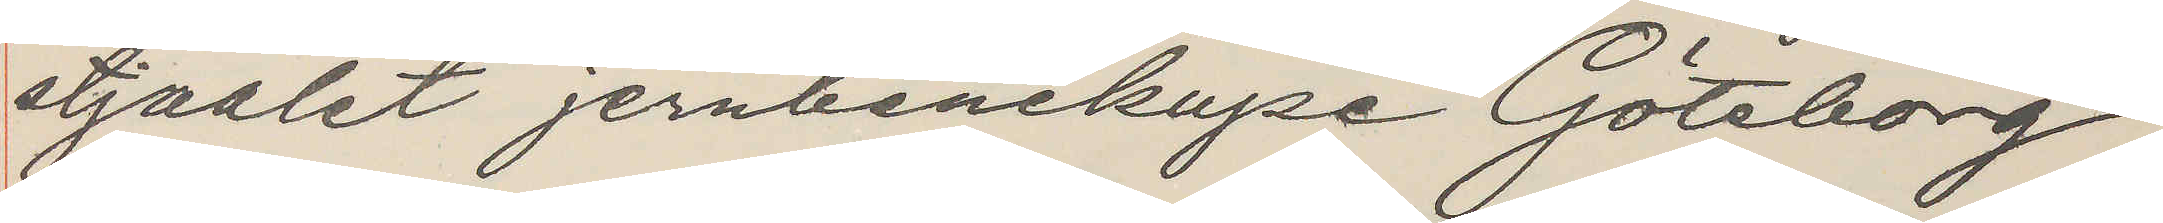stjaalet jernbanekupé Göteborg
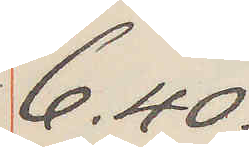6.40.
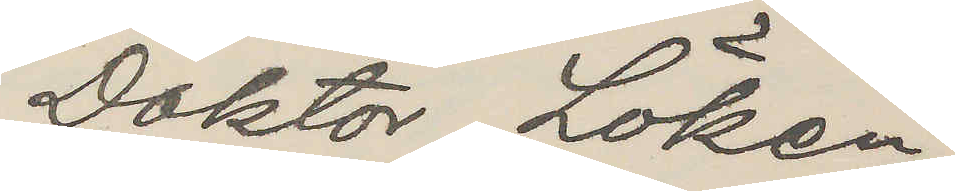Doktor Löken
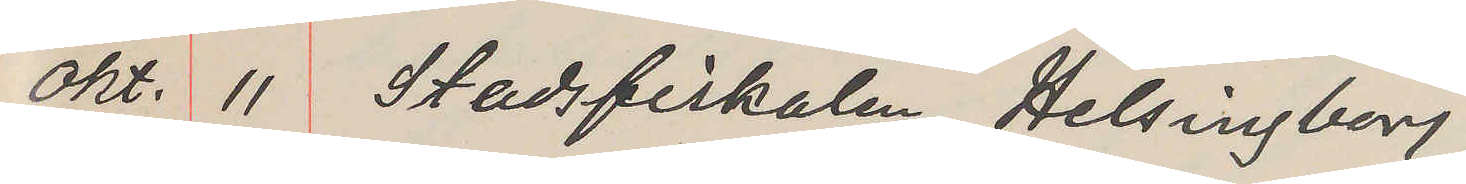Okt. 11 Stadsfiskalen Helsingborg
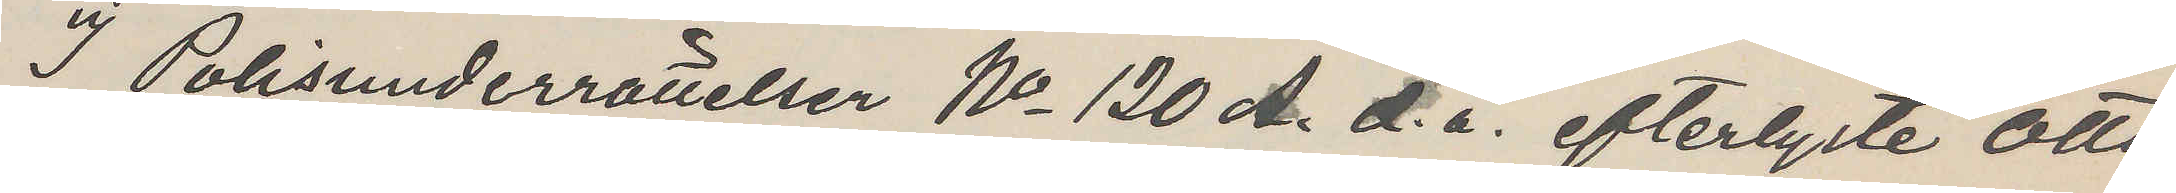I Polisunderrättelser No 120 A. d. å. efterlyste Otto
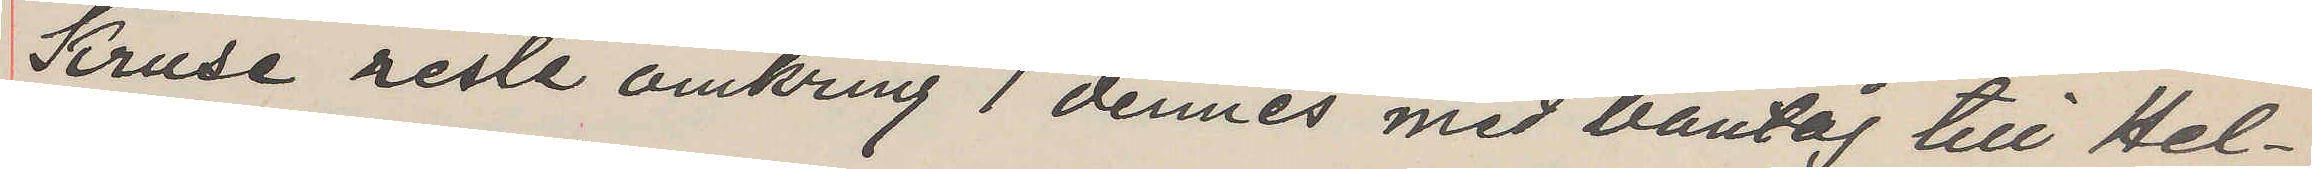Kruse reste omkring 1 dennes med bantåg till Hel¬
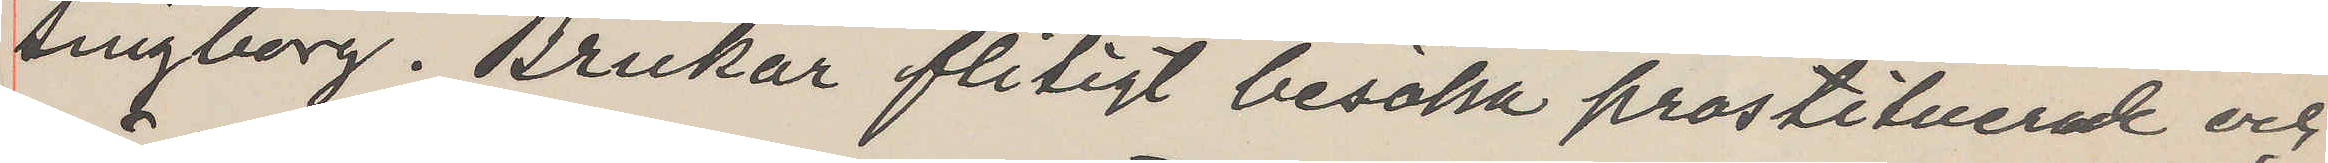singborg. Brukar flitigt besöka prostituerade och
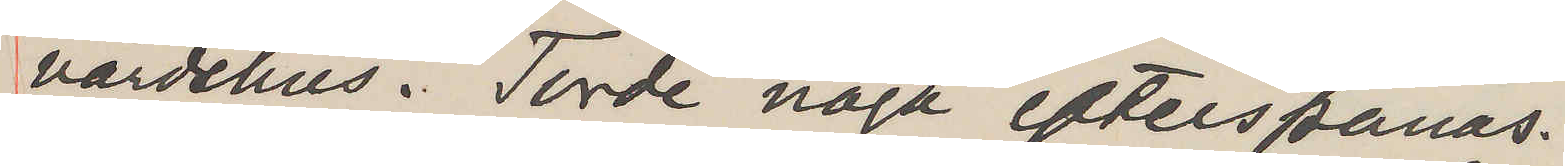värdshus. Torde noga efterspanas.
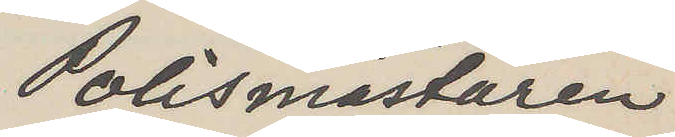Polismästaren
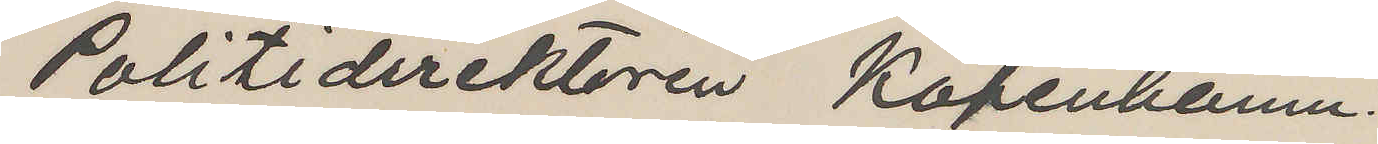Politidirektören Köpenhamn.
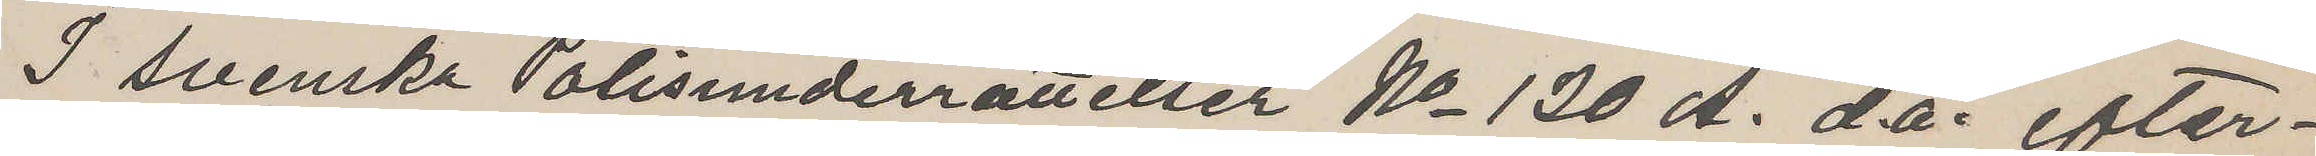I svenska Polisunderrättelser No 120 A. d å, efter¬
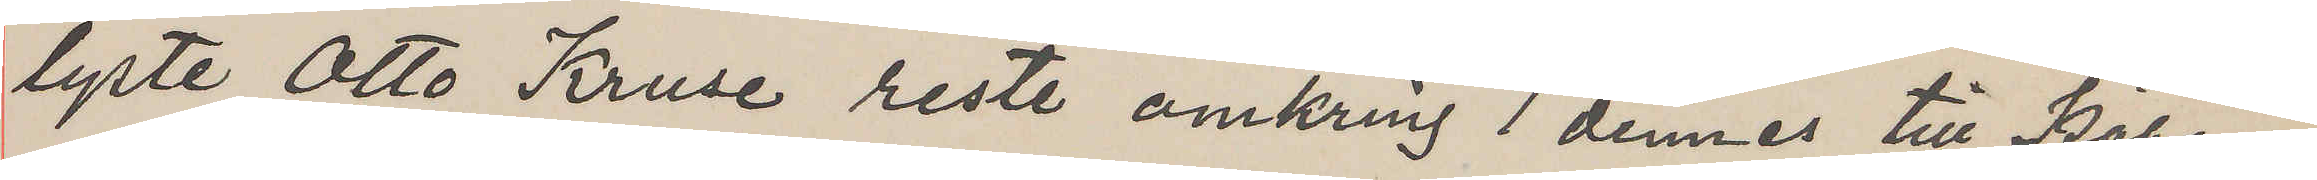lyste Otto Kruse reste omkring 1 dennes till Köpen¬
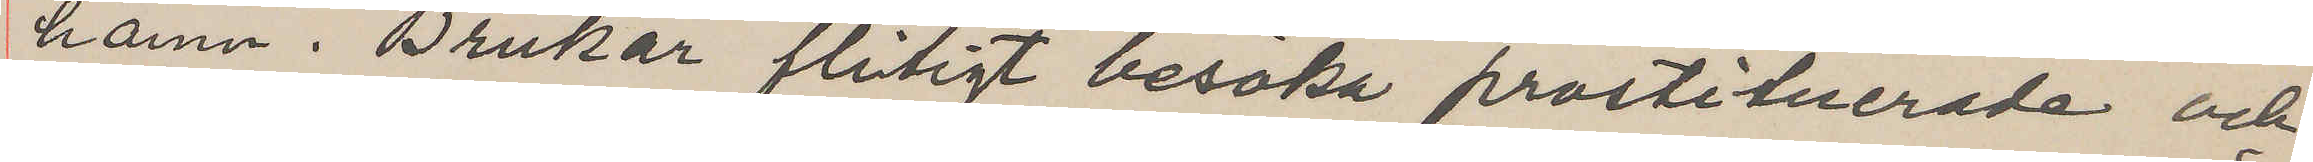hamn. Brukar flitigt besöka prostituerade och
